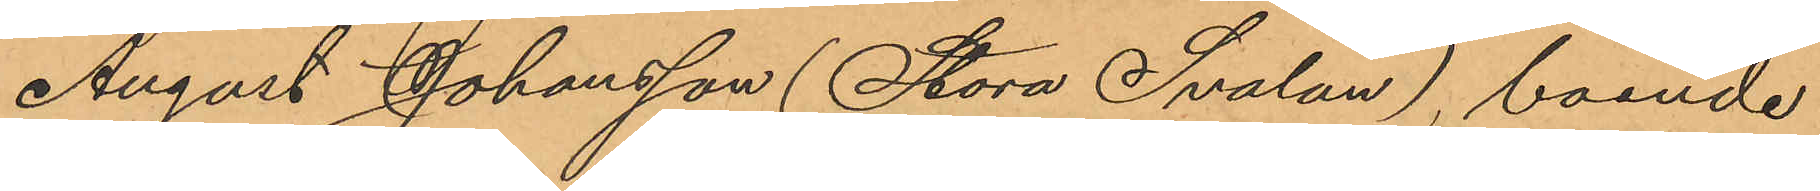August Johansson (Stora Svalan), boende
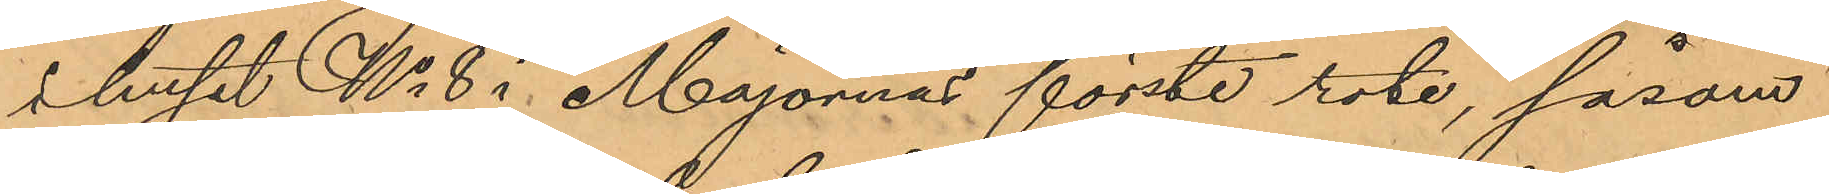i huset No 8 i Majornas förste rote, såsom
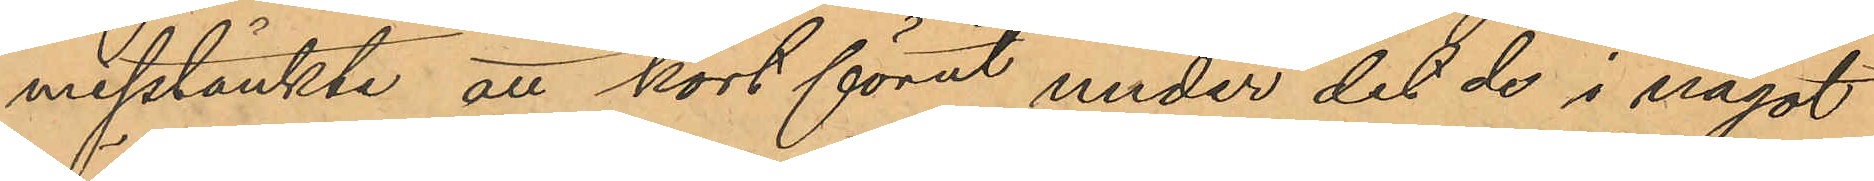misstänkte att kort förut under det de i något
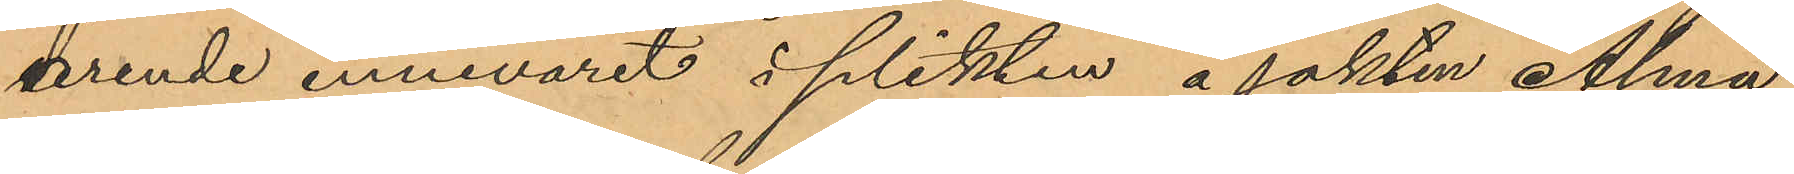ärende innevarit i plikten å jakten "Alma"
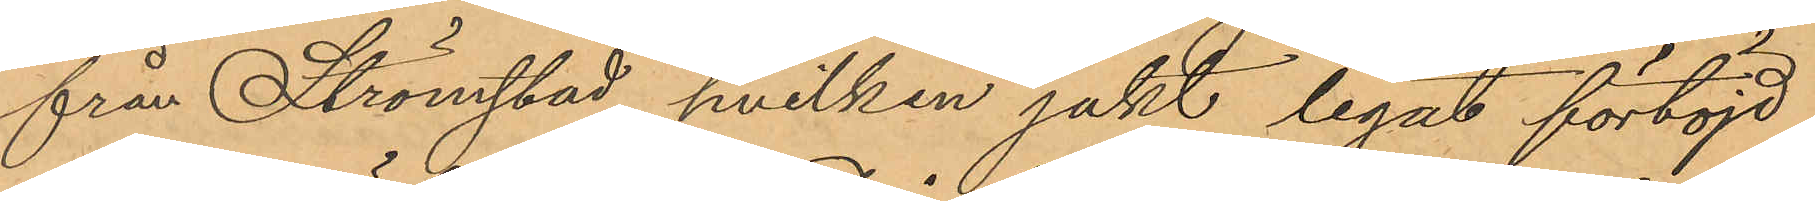från Strömstad, hvilken jakt legat förtöjd
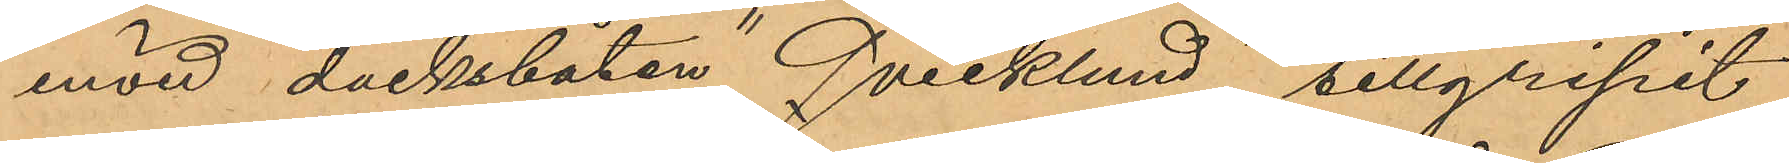invid däcksbåten "Qvicklund", tillgripit
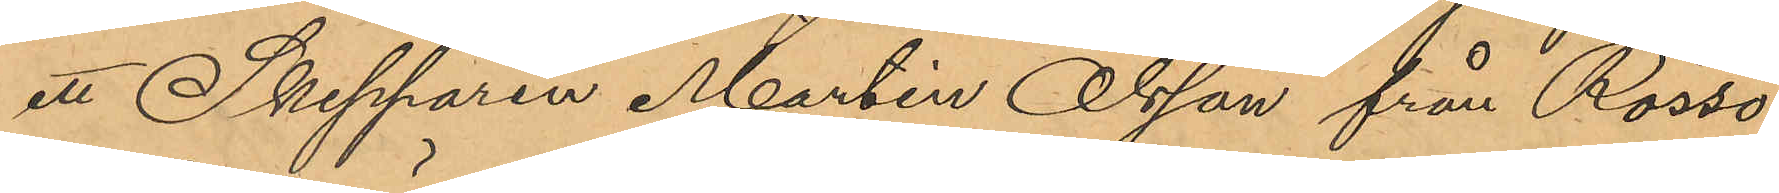ett Skepparen Martin Olsson från Rossö
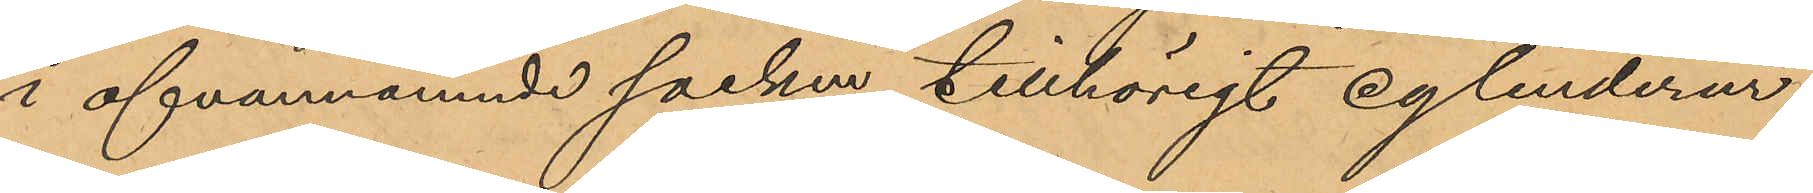i ofvannämnde jakten tillhörigt cylinderur
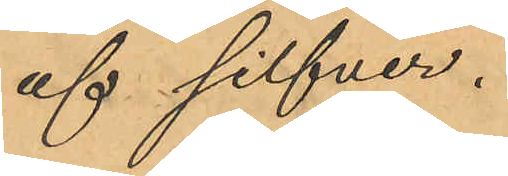af silfver.
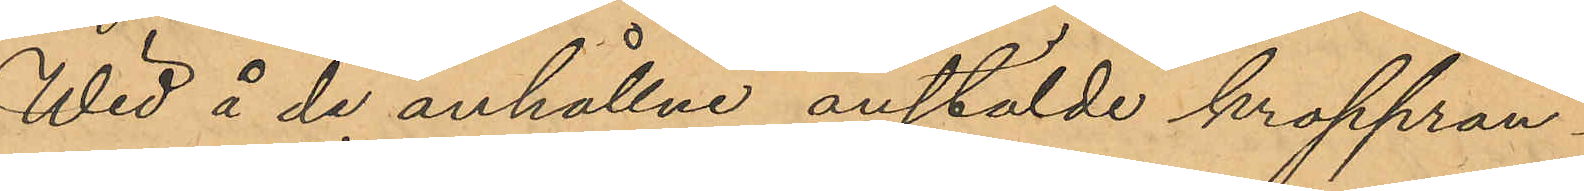Wid å de anhållne anstälde kroppran¬
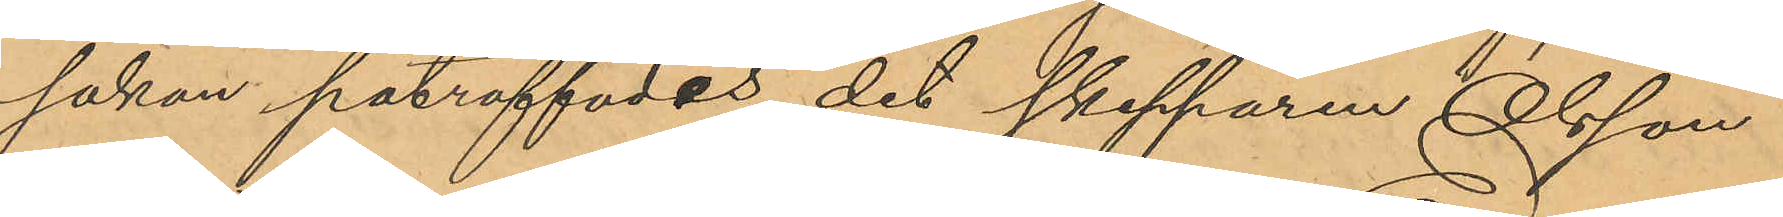sakan påträffades det skepparen Olsson
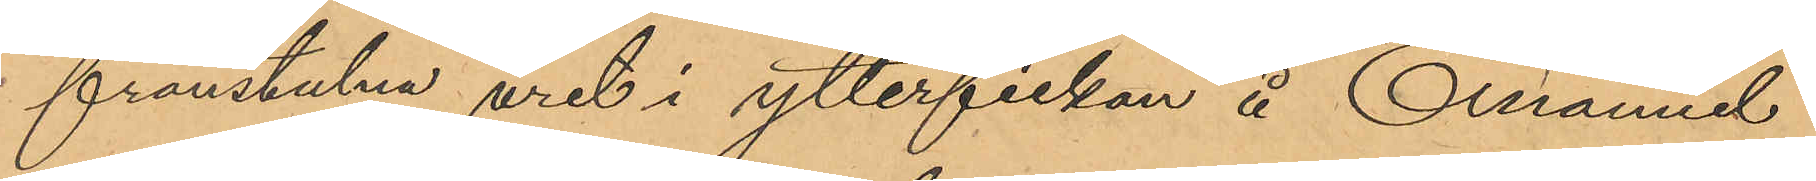frånstulna uret i ytterfickan å Emanuel
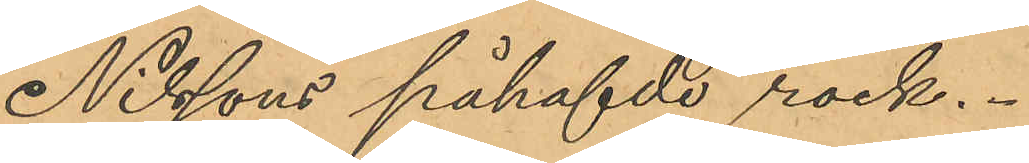Nilssons påhafvde rock.
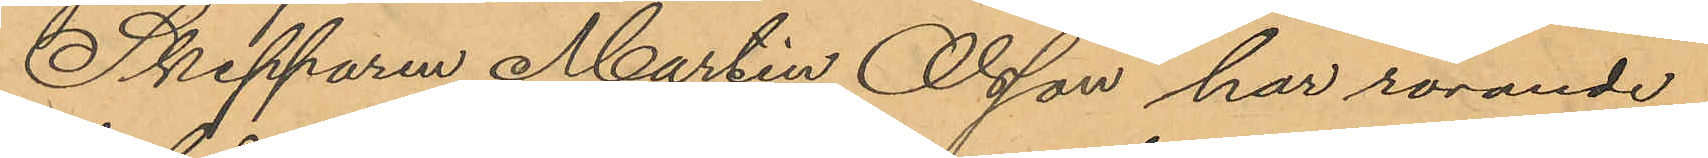Skepparen Martin Olsson har rörande
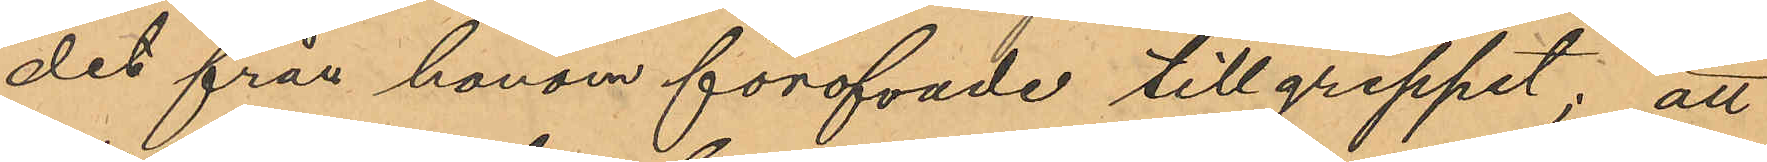det från honom föröfvade tillgreppet; att
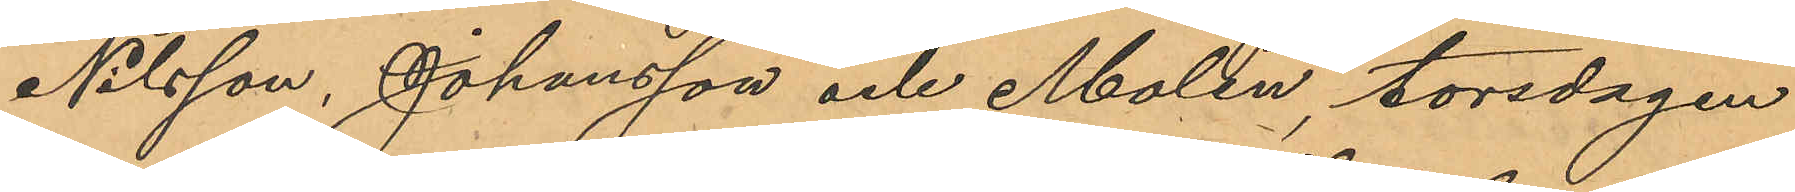Nilsson, Johansson och Molén, torsdagen
